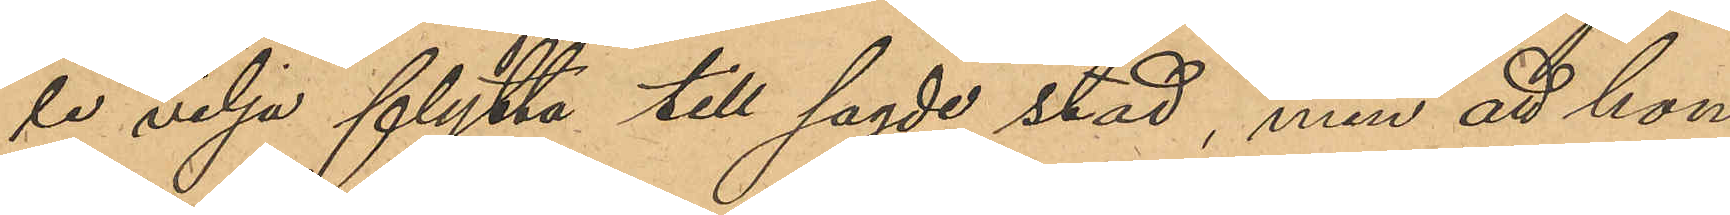le vilja flytta till sagde stad, men att hon
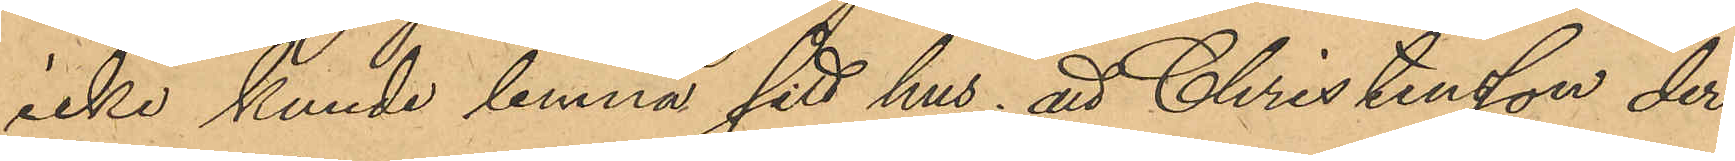icke kunde lemna sitt hus; att Christensson der¬
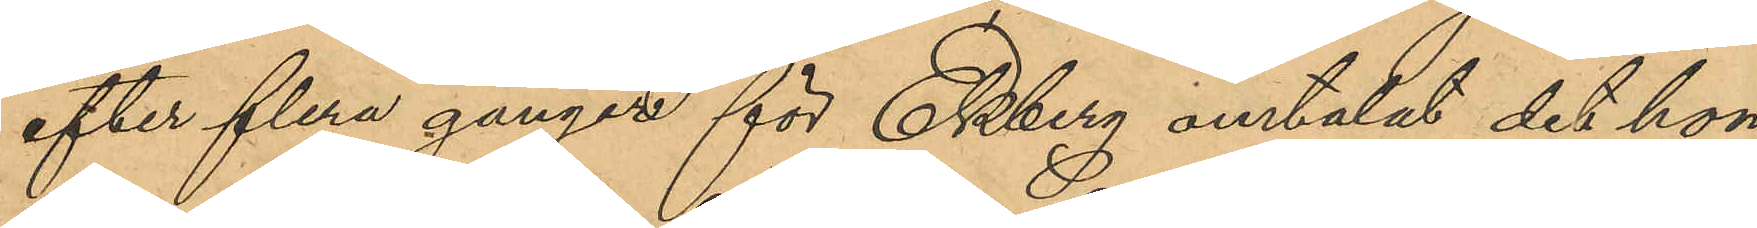efter flera gånger för Ekberg omtalat det hon
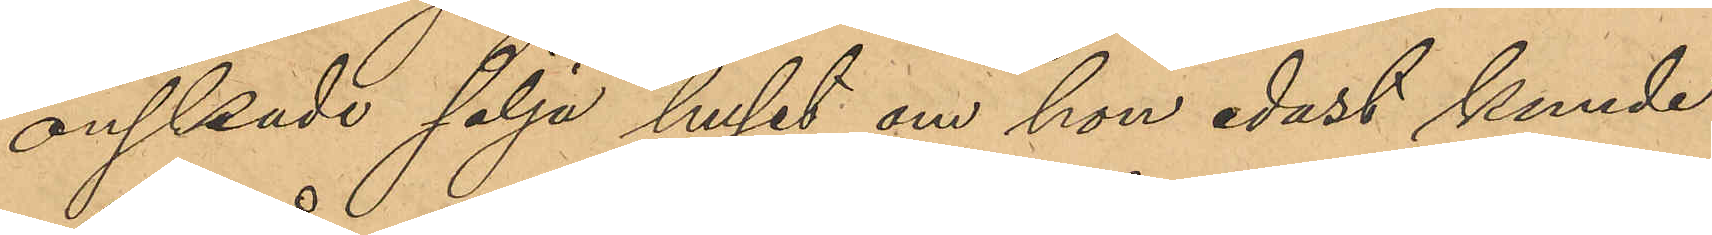önskade sälja huset om hon endast kunde
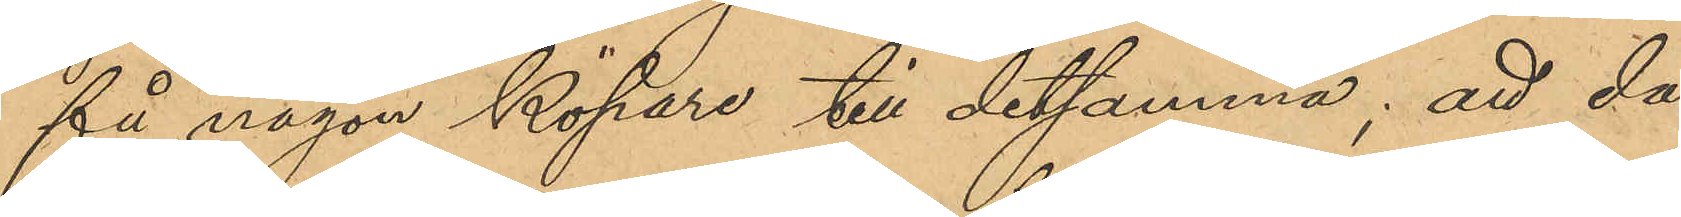få någon köpare till detsamma; att då
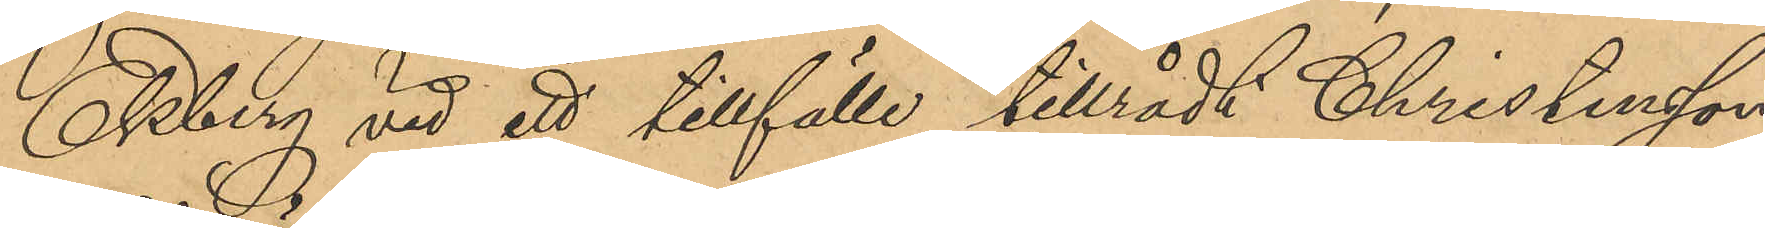Ekberg vid ett tillfälle tillrådt Christensson
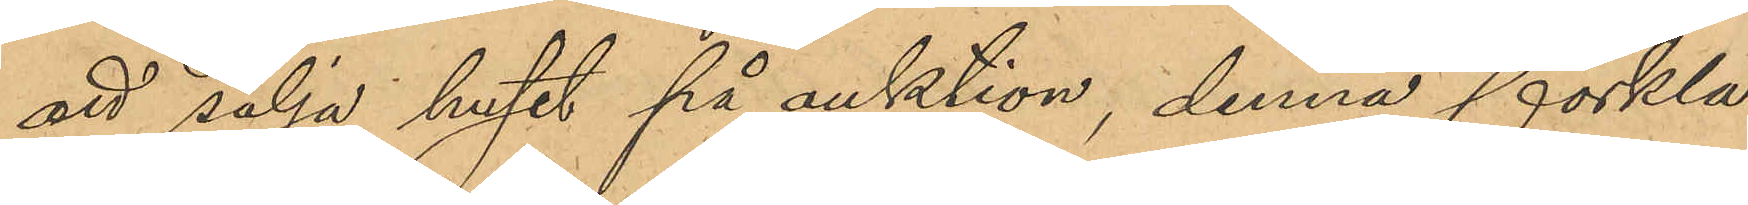att sälja huset på auktion, denna förkla¬
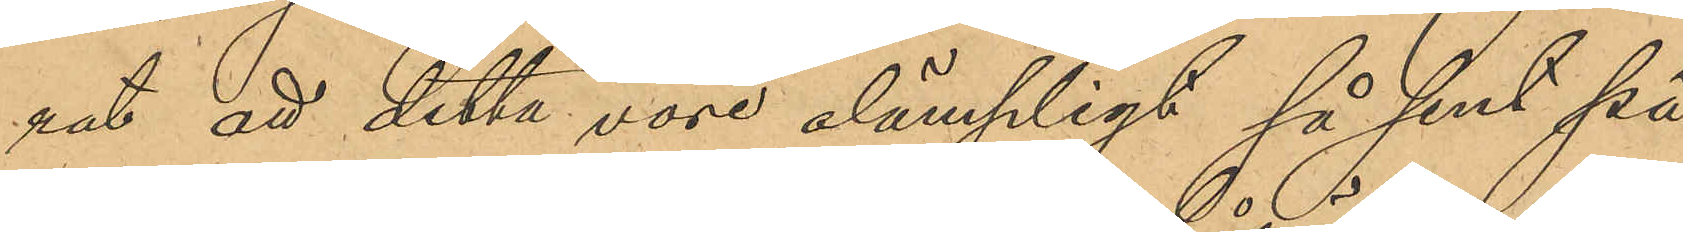rat att detta vore olämpligt så sent på
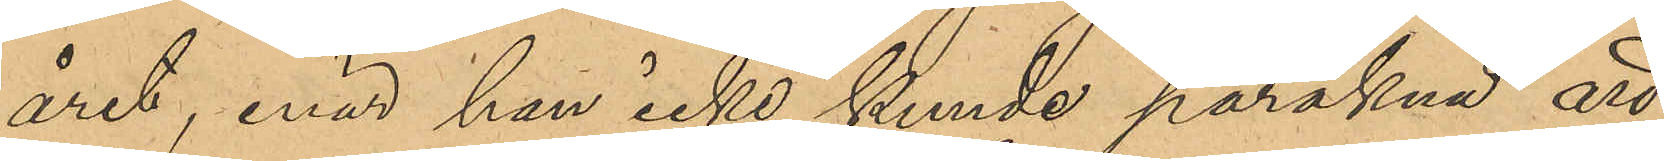året, enär hon icke kunde påräkna att
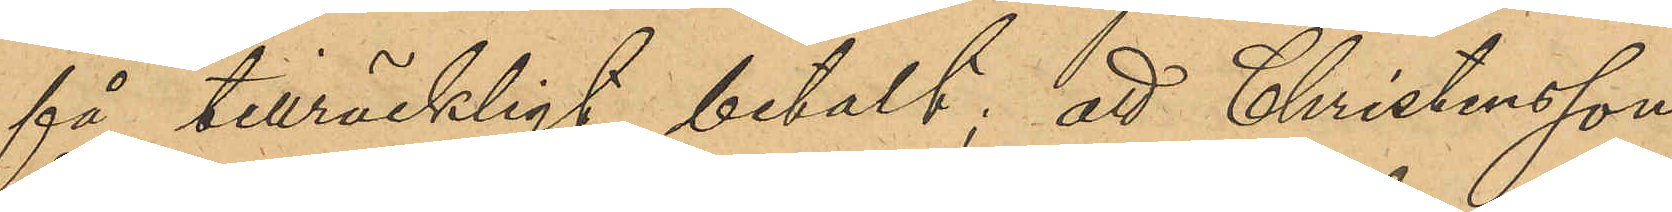få tillräckligt betalt; att Christensson
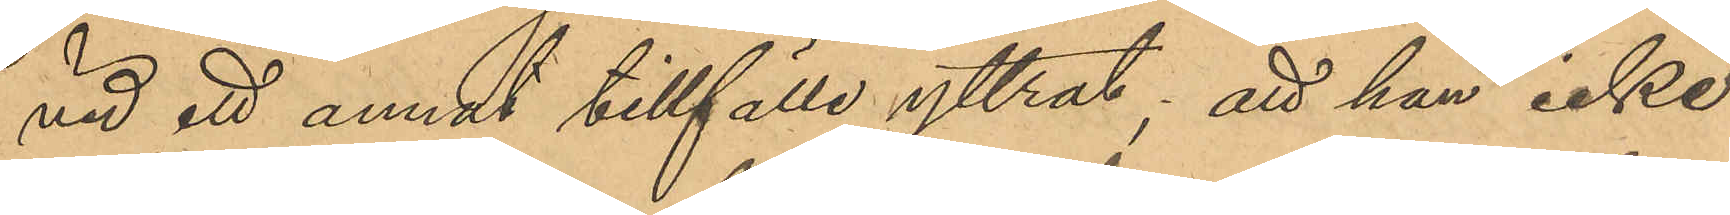vid ett annat tillfälle yttrat; att hon icke
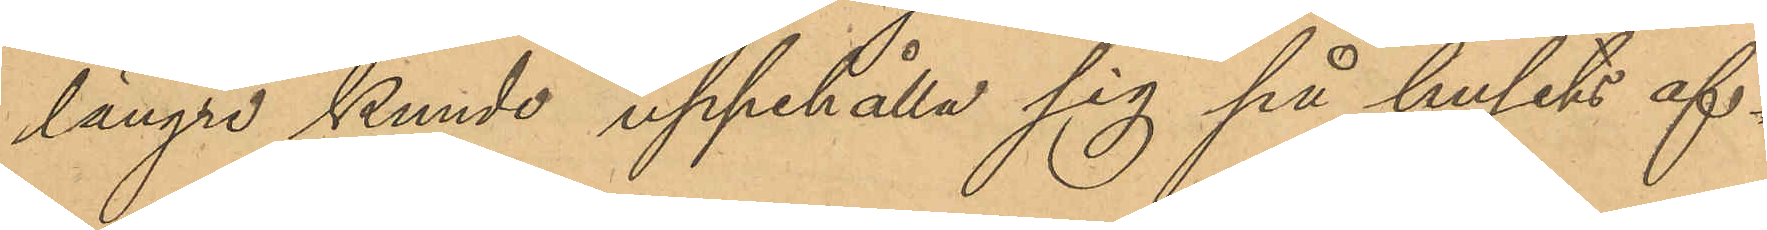längre kunde uppehålla sig på husets af¬
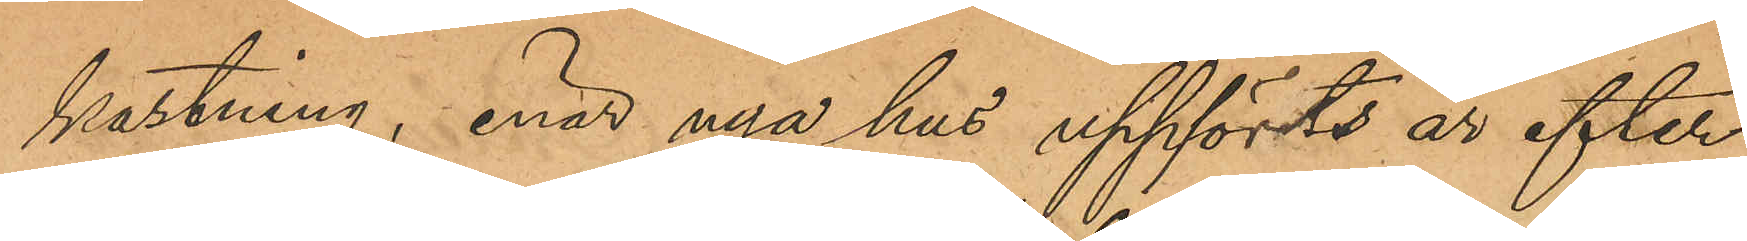kastning, enär nya hus uppförts år efter
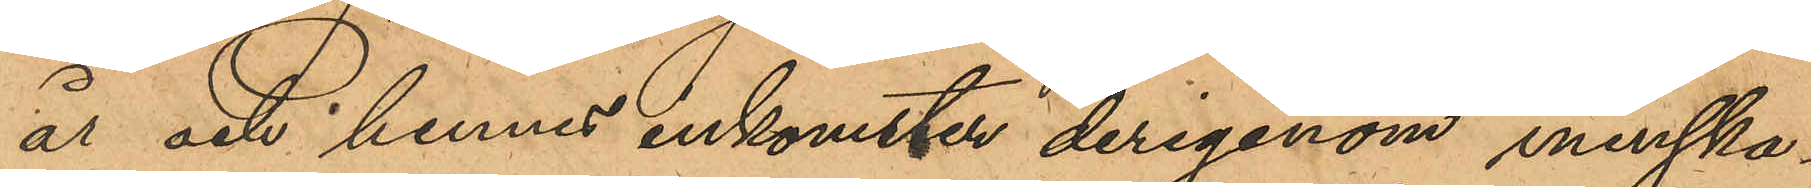år och hennes inkomster derigenom minska¬
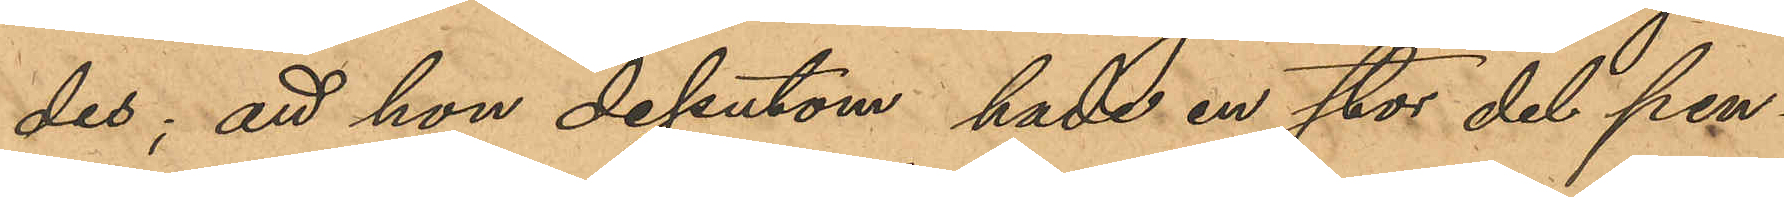des; att hon dessutom hade en stor del pen¬
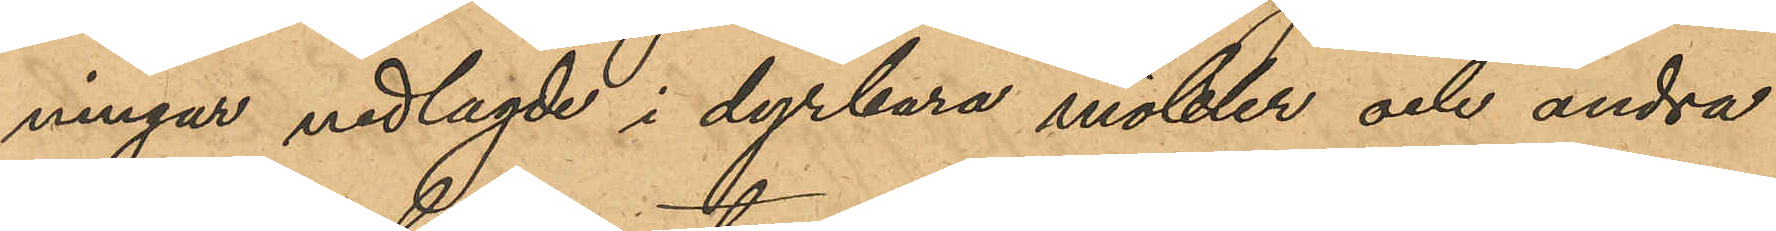ningar nedlagde i dyrbara möbler och andra
